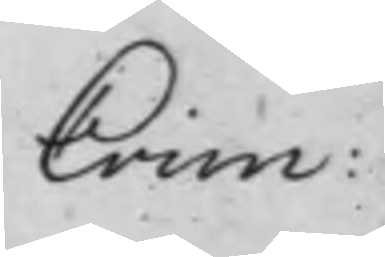Crim:
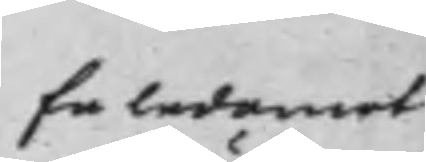En ledamot
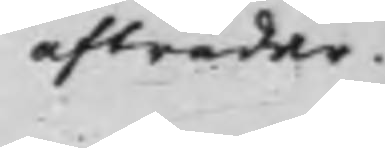afträder.
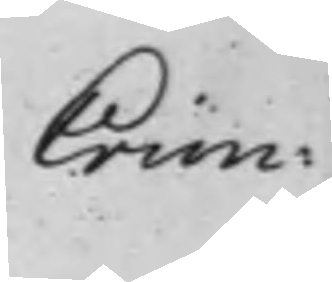Crim:
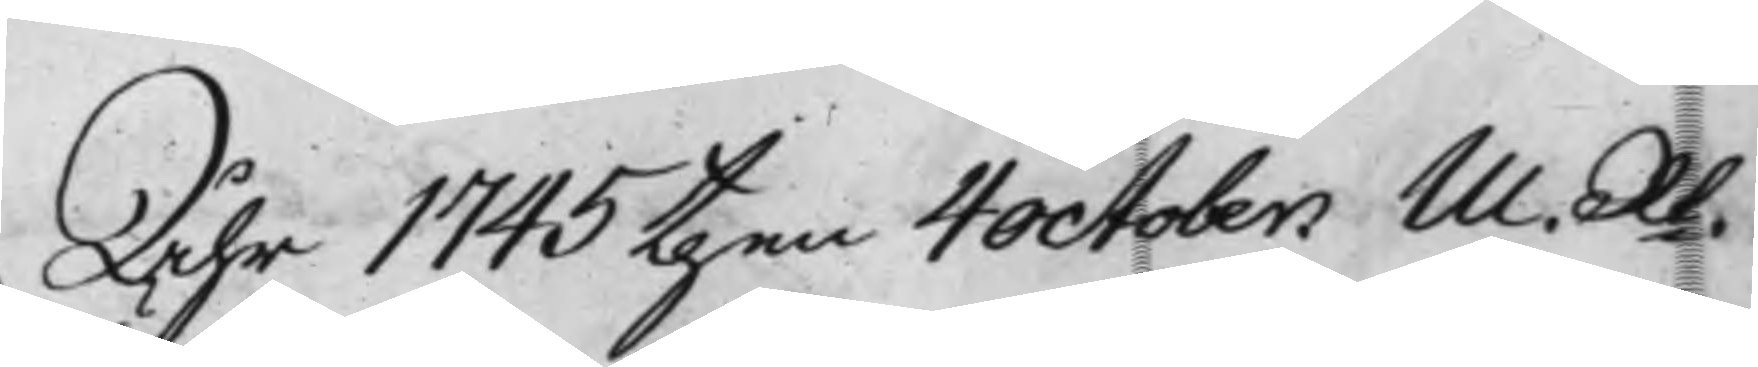Åhr 1745 then 4 october M. Rt.
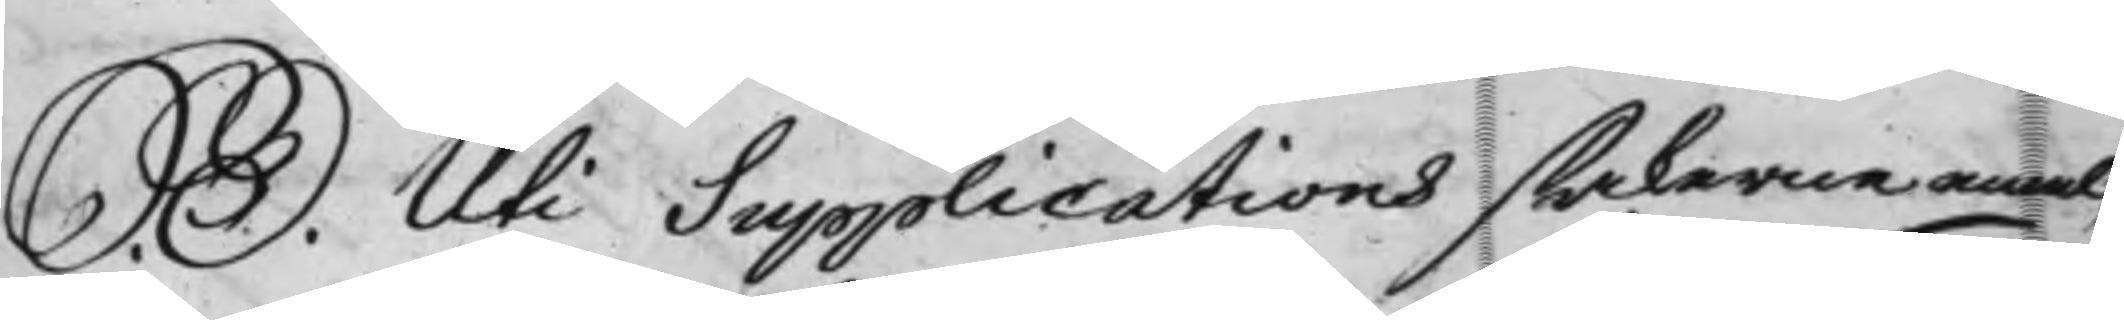S. D. Uti Supplications sakerne emel¬
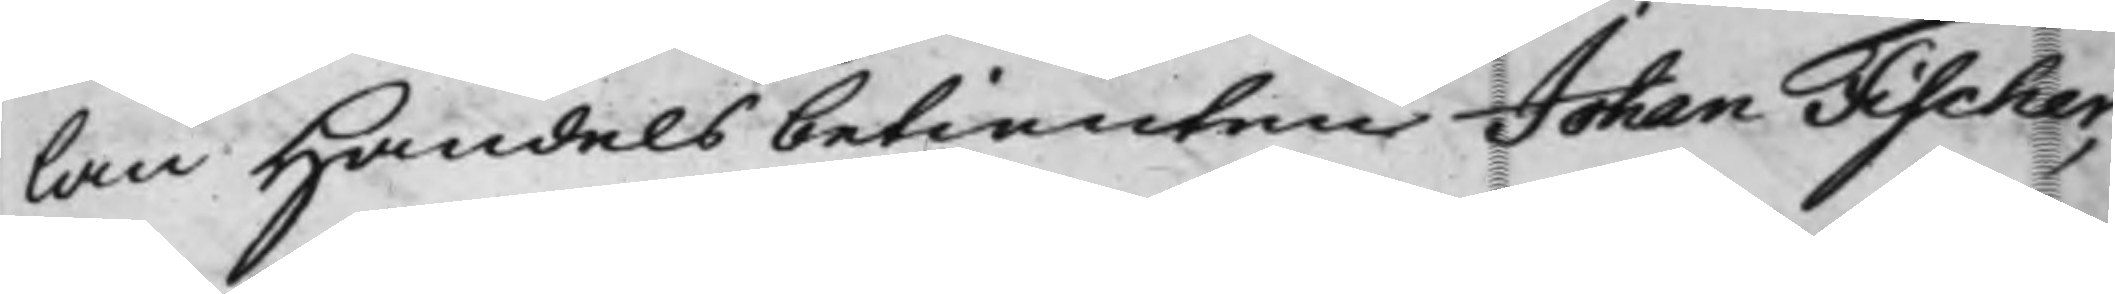lan Handelsbetienten Johan Fischer,
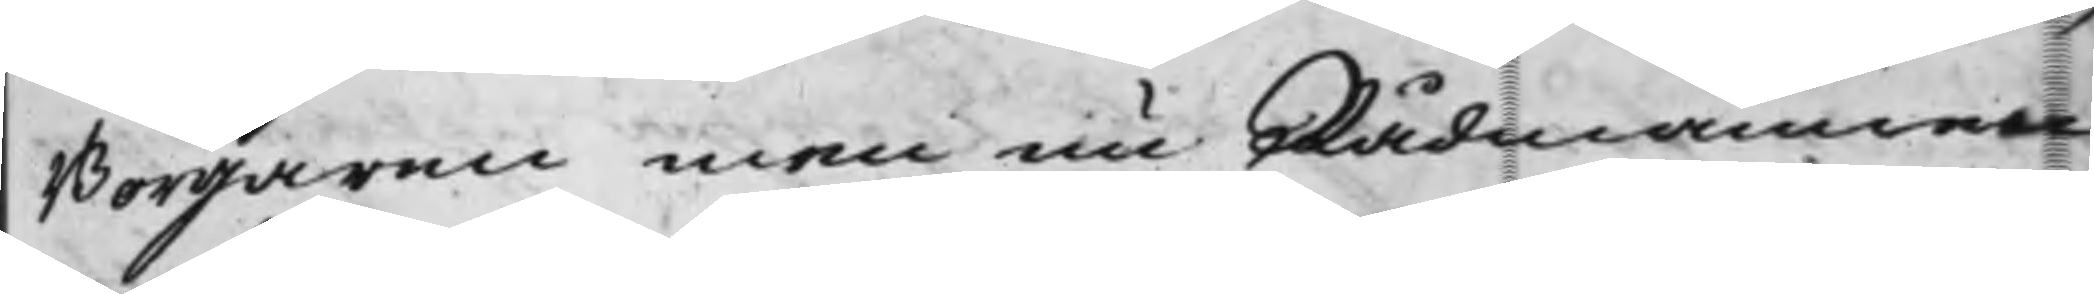Borgaren men nu Rådmannen
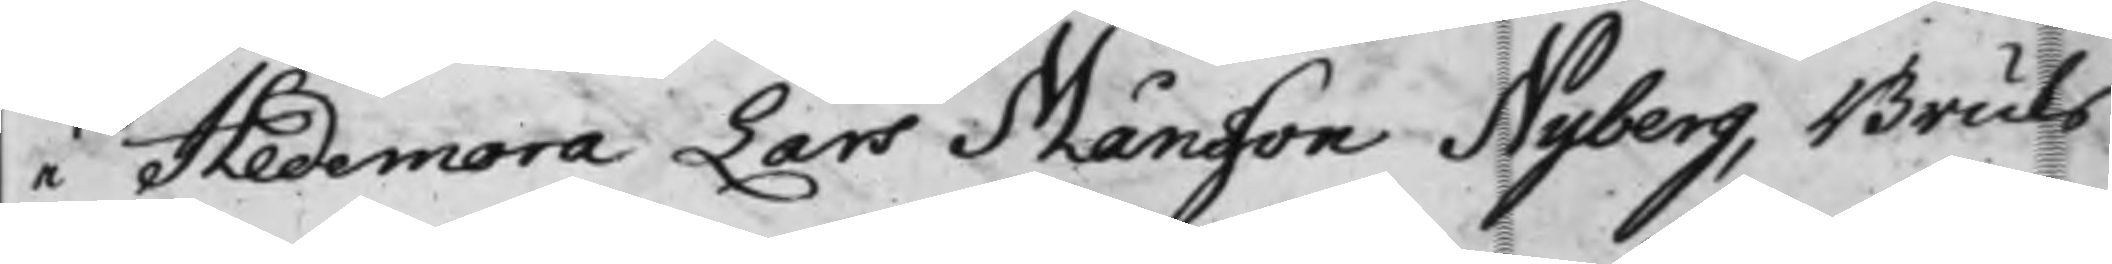i Hedemora Lars Månsson Nyberg, Bruks¬
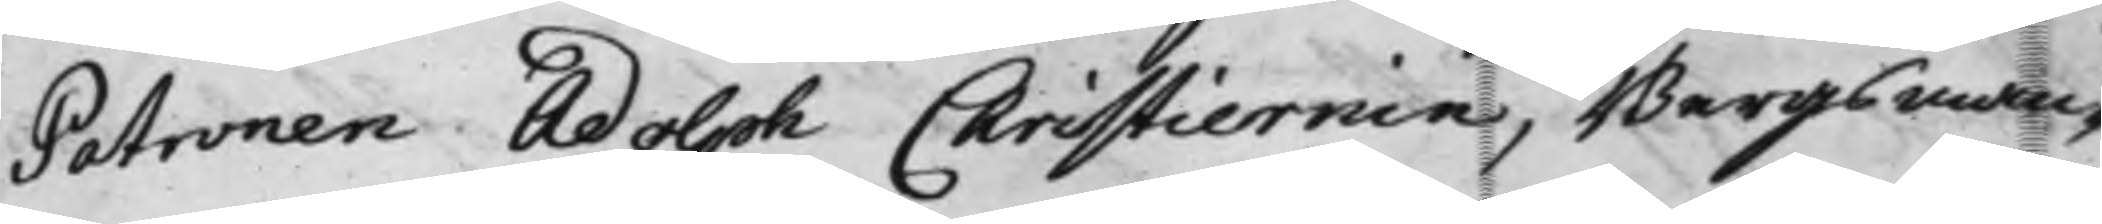Patronen Adolph Christiernin, Bergsman¬
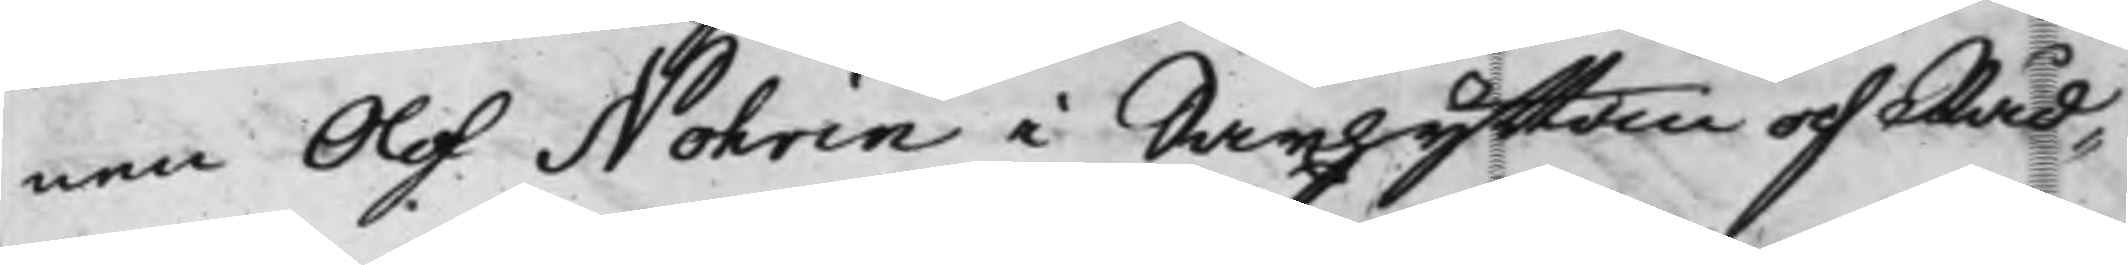nen Olof Nohrin i Saxhyttan och Råd¬
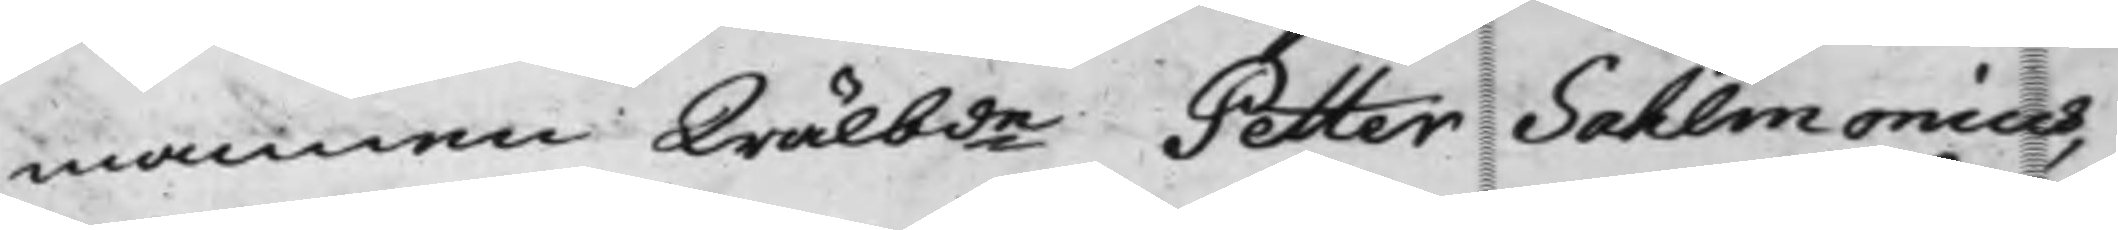mannen Wälbde Petter Sahlmonius,
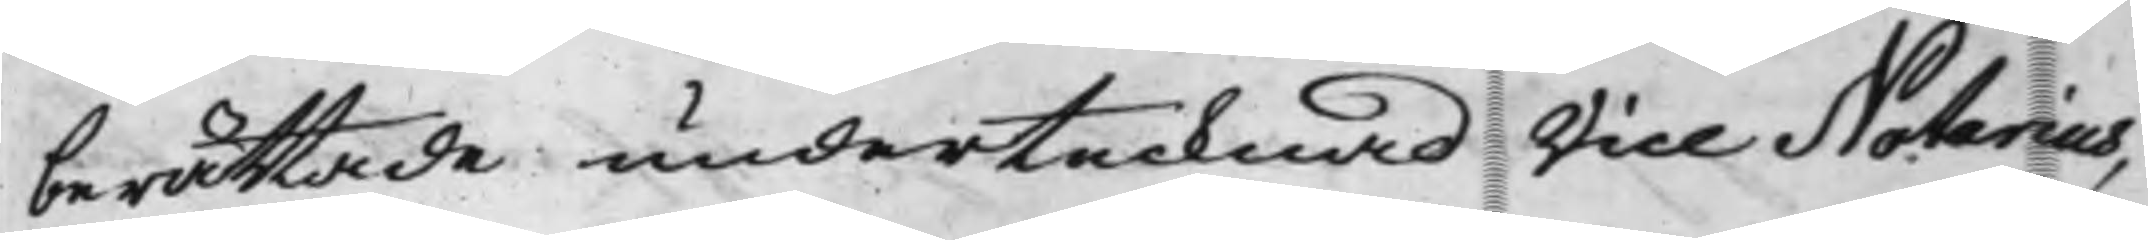berättade undertecknad Vice Notarius,
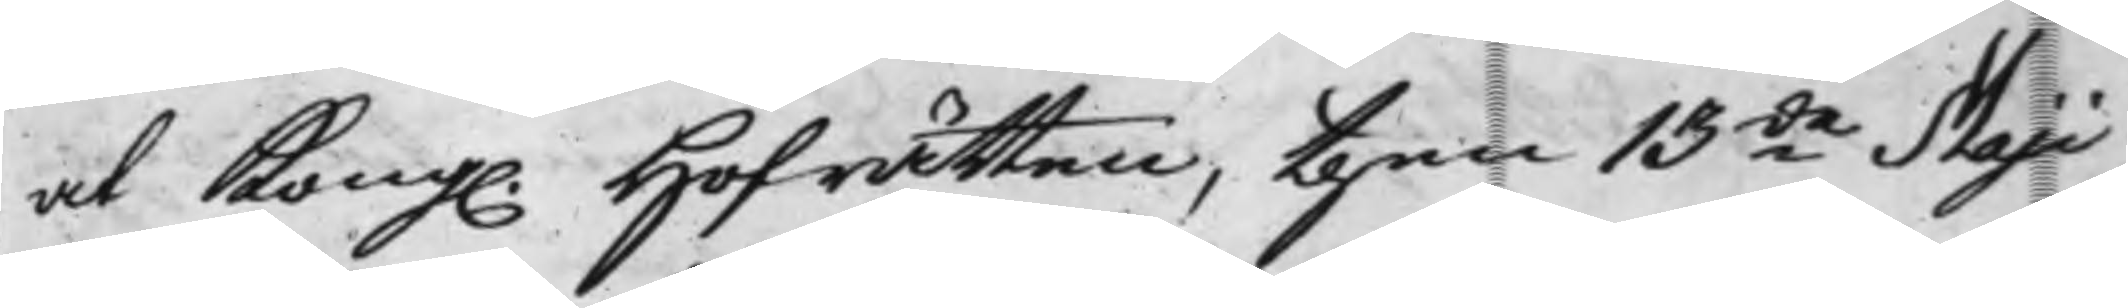at Kong. Hofrätten, then 13de Maji
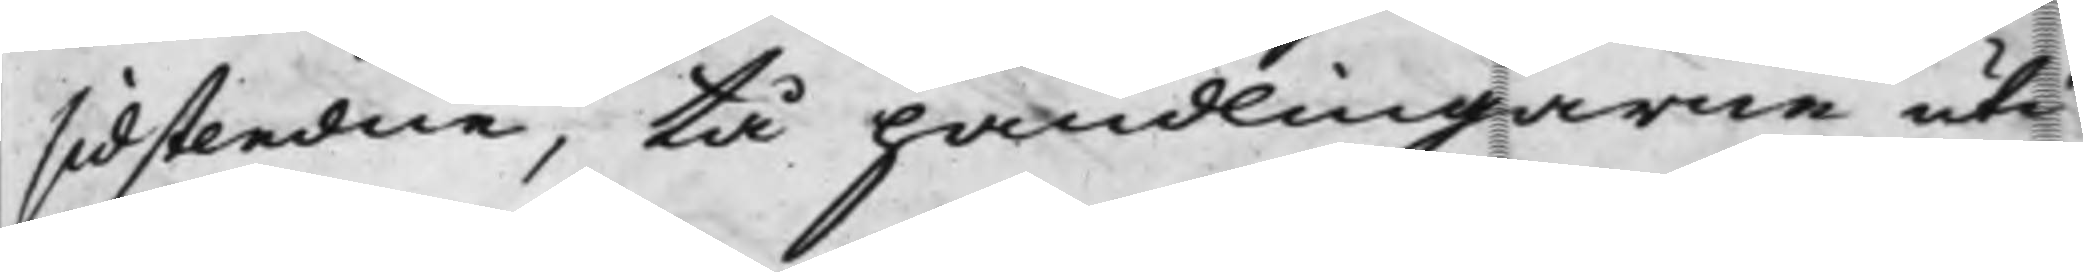sidstledne, tå handlingarne uti
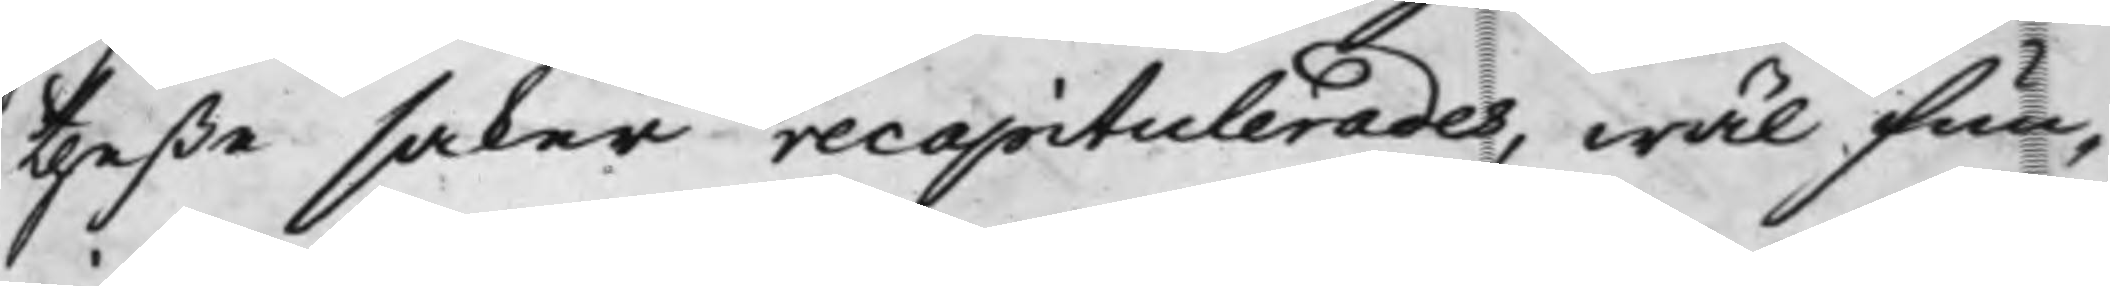theße saker recapitulerades, wäl fun¬
